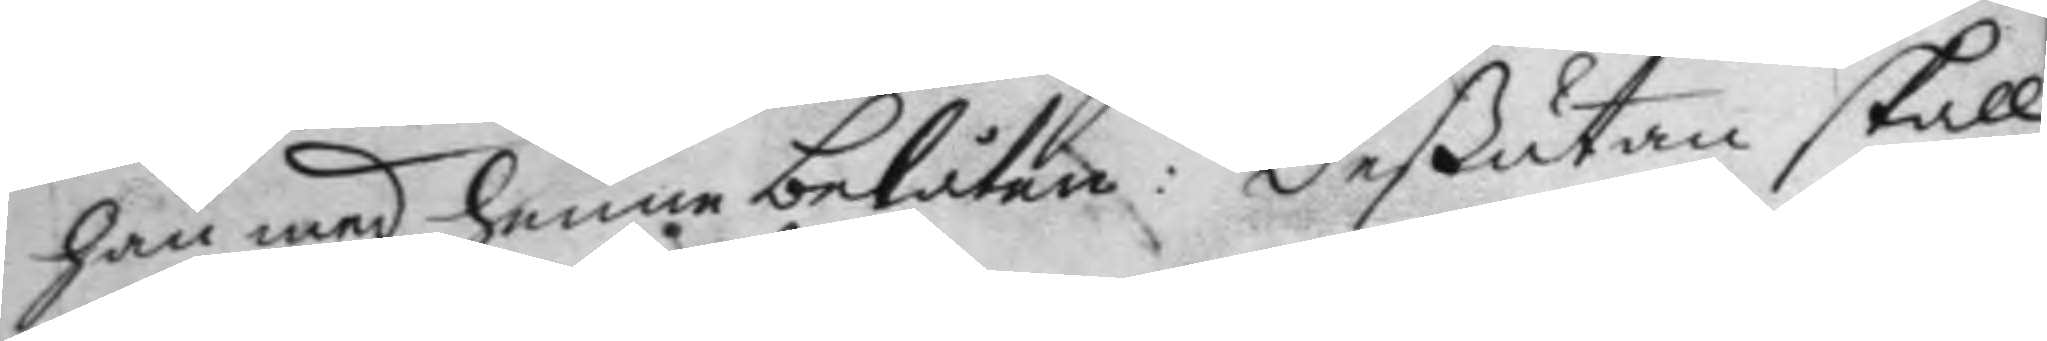han med henne belåten: Deßutan skall
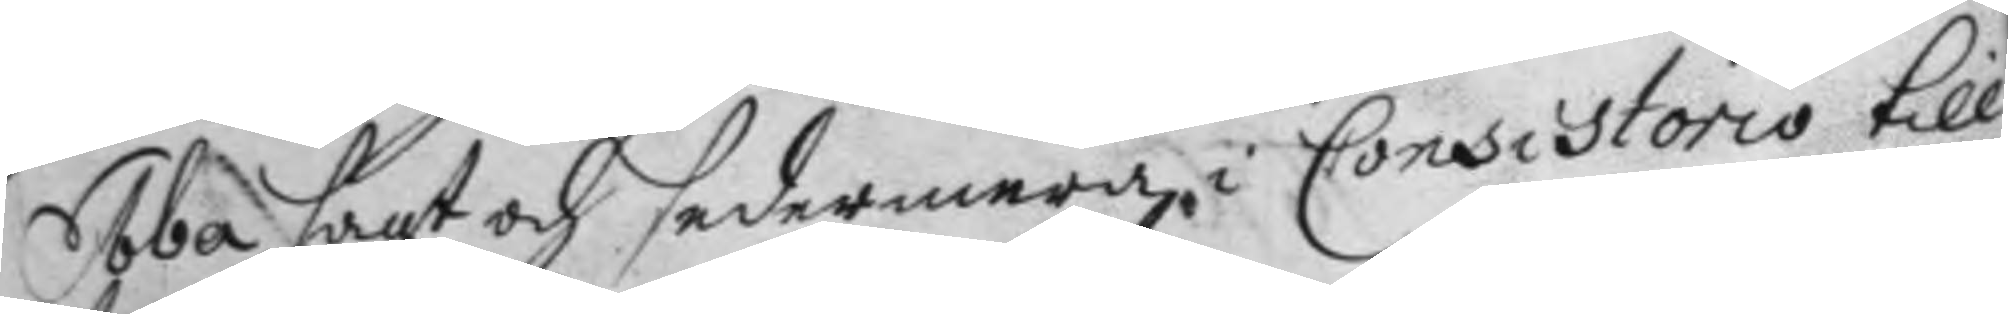Ebba sagt och sedermera i Consistorio till¬
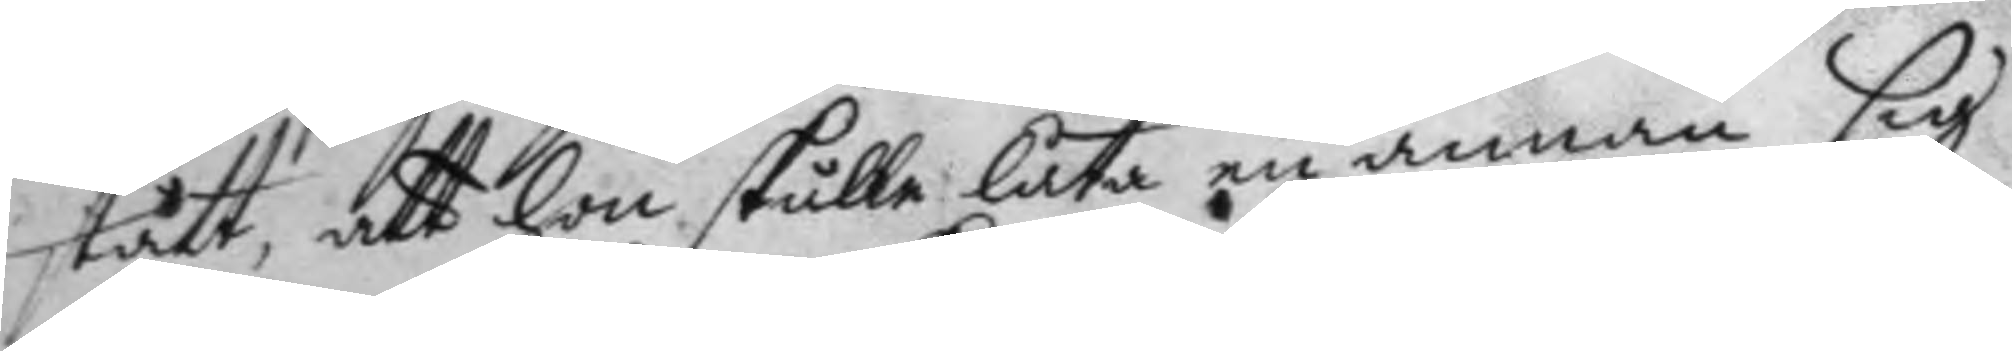stått, att hon skulle låta en annan sig
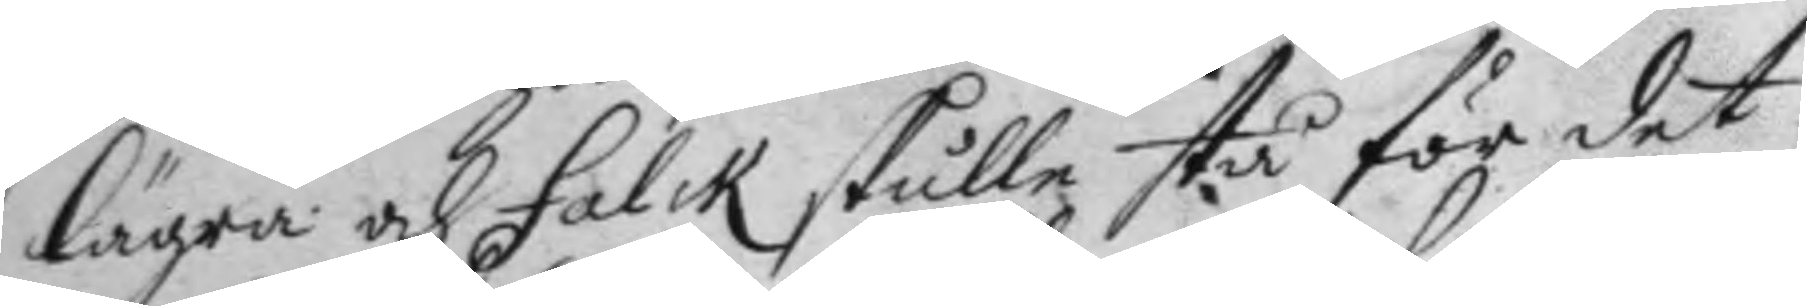lägra och Falck skulle stå för det;
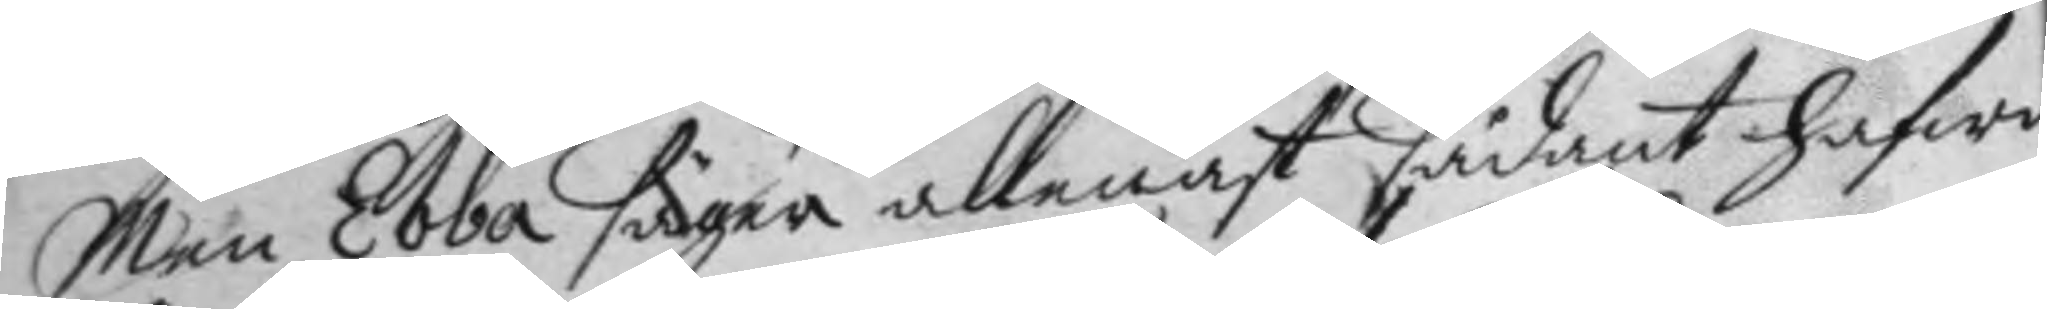Men Ebba säger allenast sådant hafwa
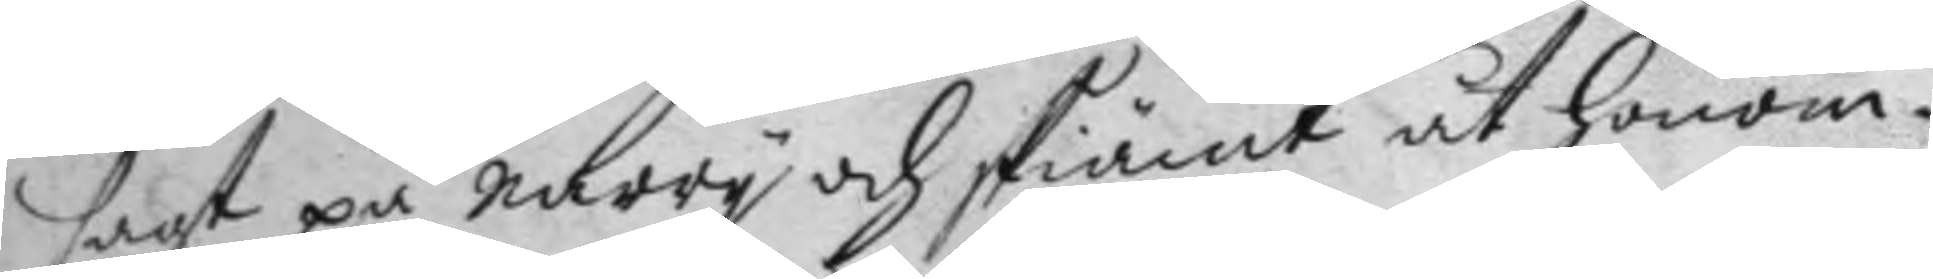sagt på narry och skiämt åt honom.
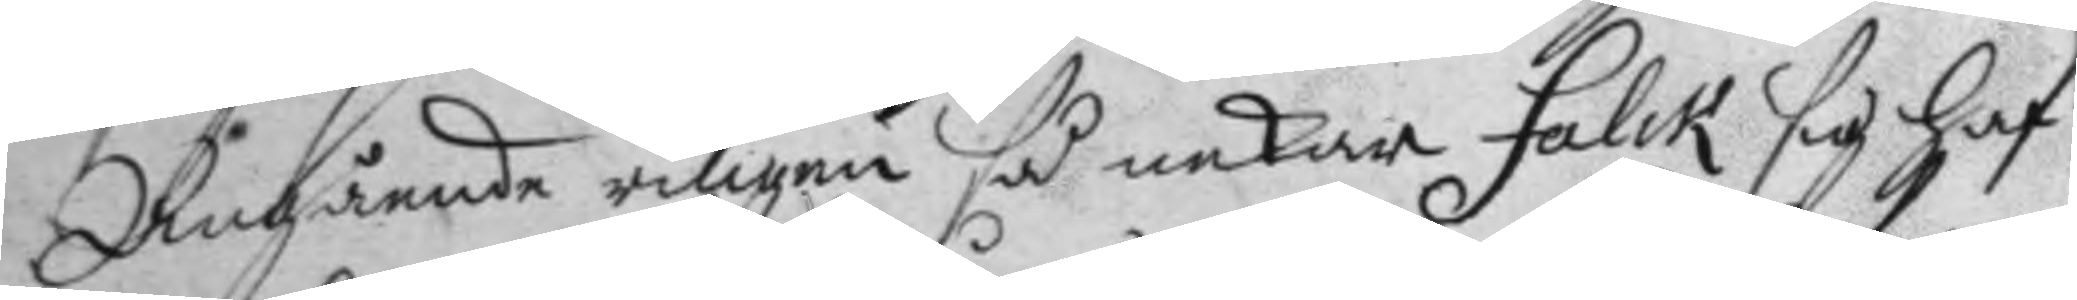Angående ringen så nekar Falck sig haf¬
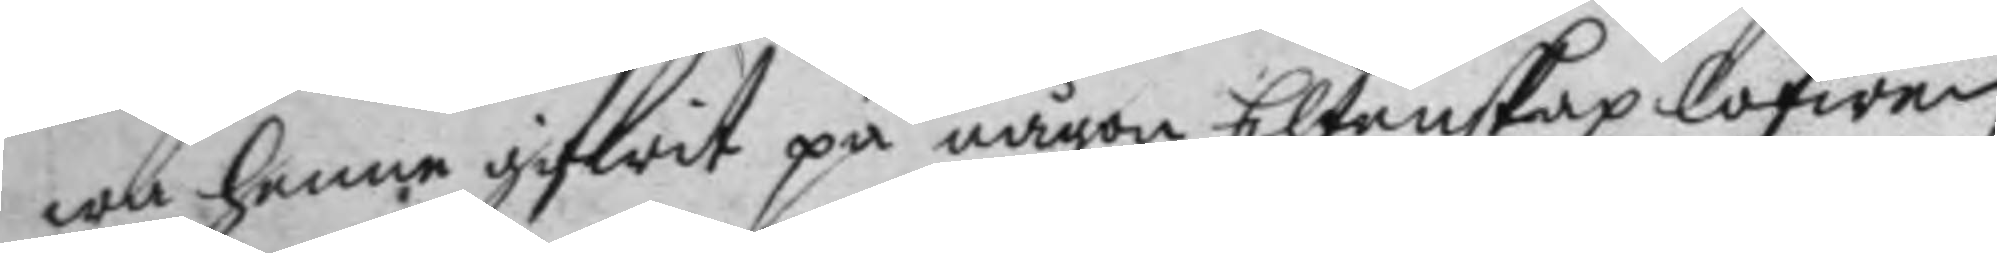wa henne gifwit på någon Ehtenskap lofwen
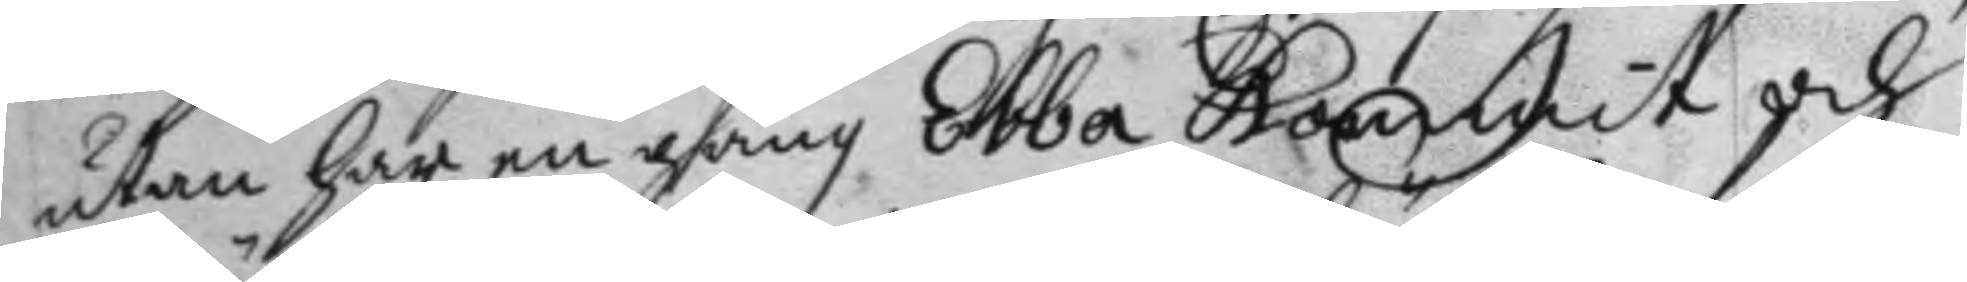utan har en gång Ebba kommit och
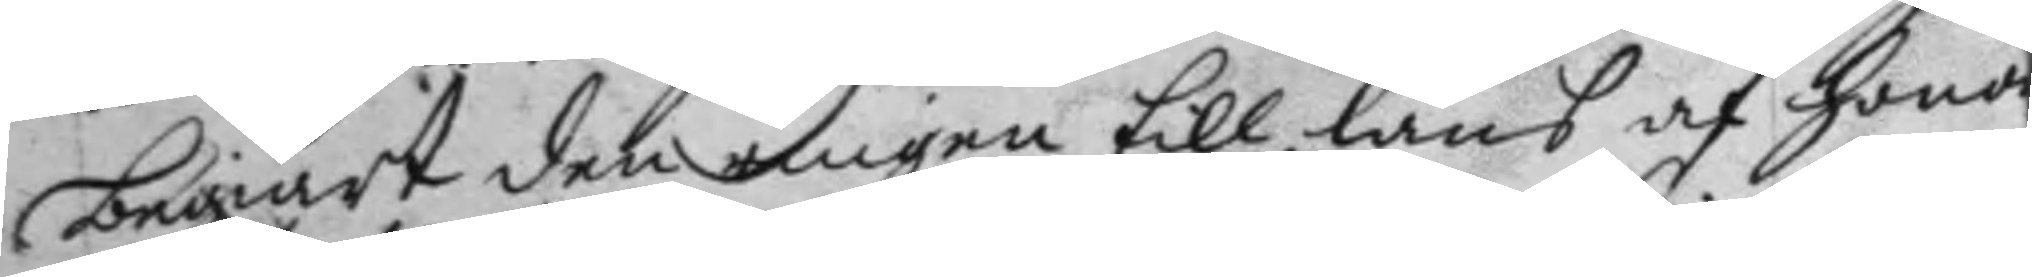begiärt den ringen till läns af honom
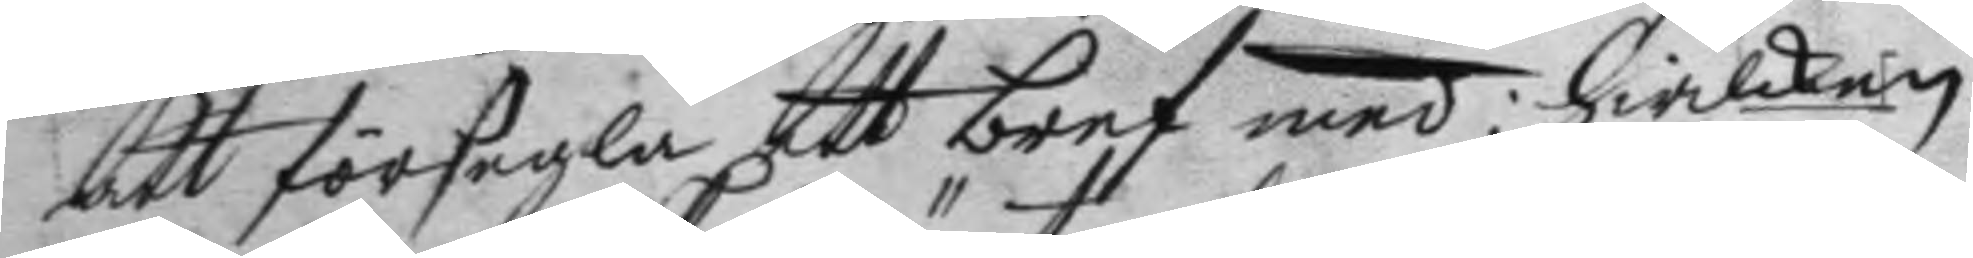att försegla att bref med; hwilken
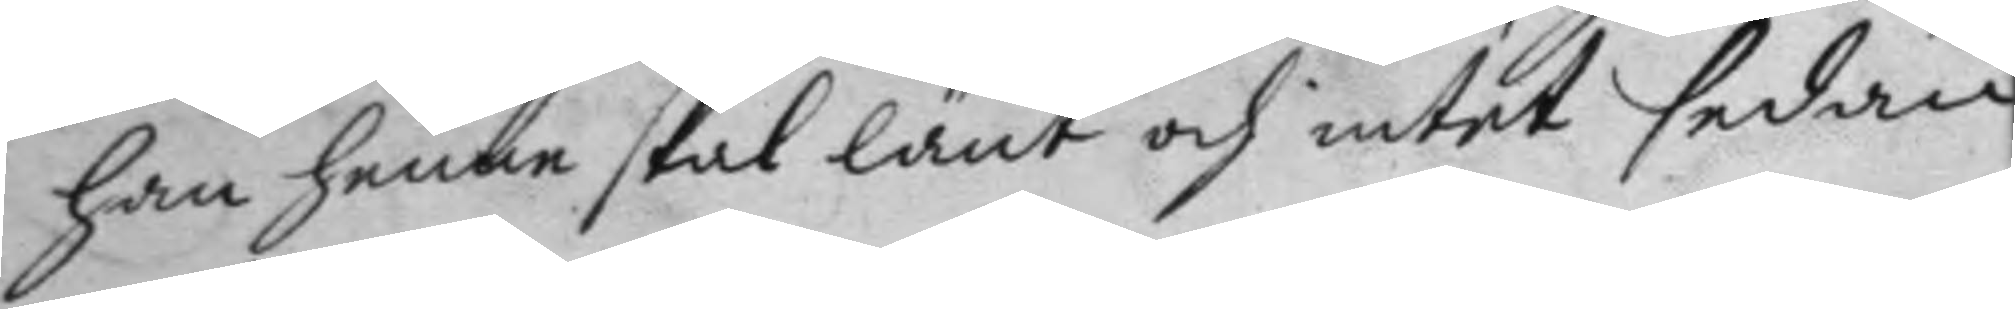han henne skal länt och intet sedan
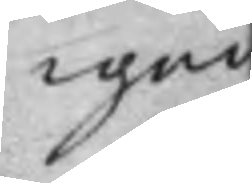igen
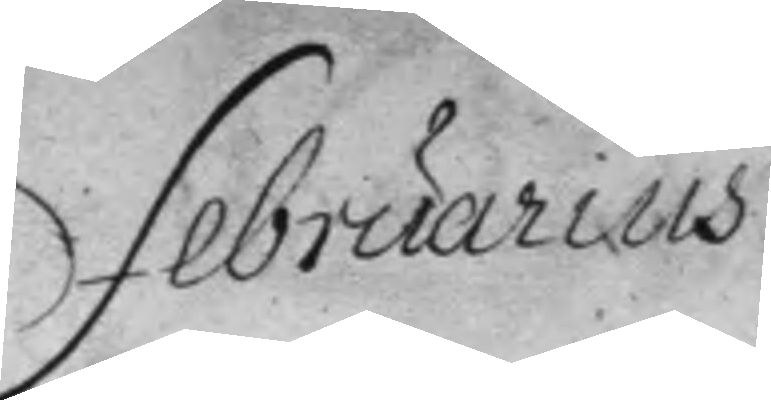Februarius
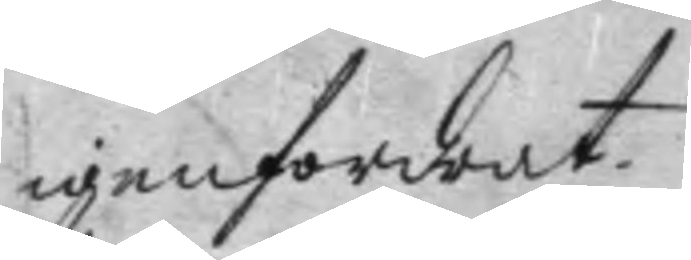igenfordrat.
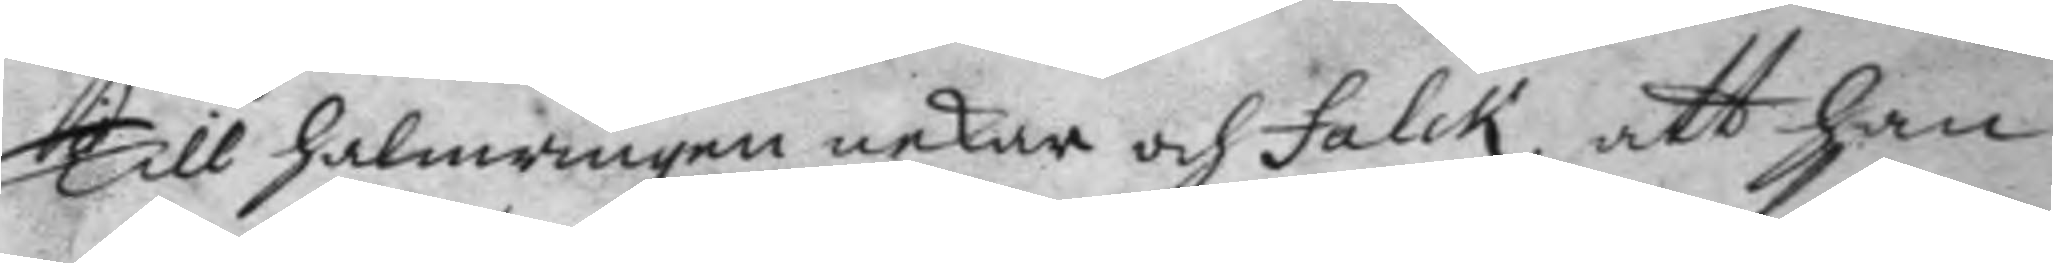Till halmringen nekar och Falck, att han
